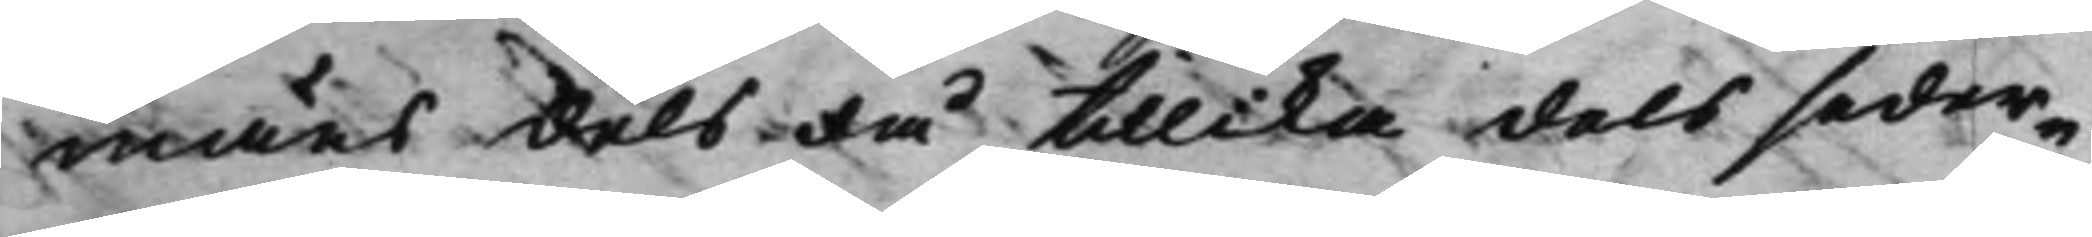mäns dels då tillika dels seder¬
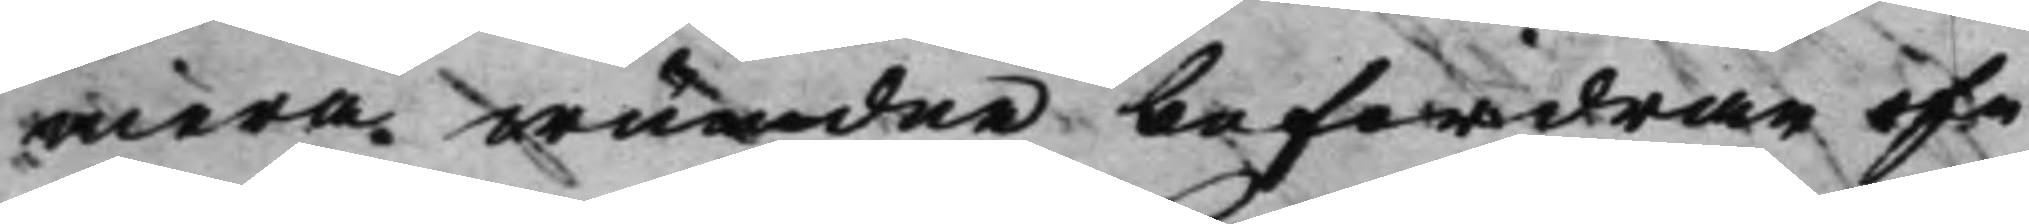mera wundne befordran of¬
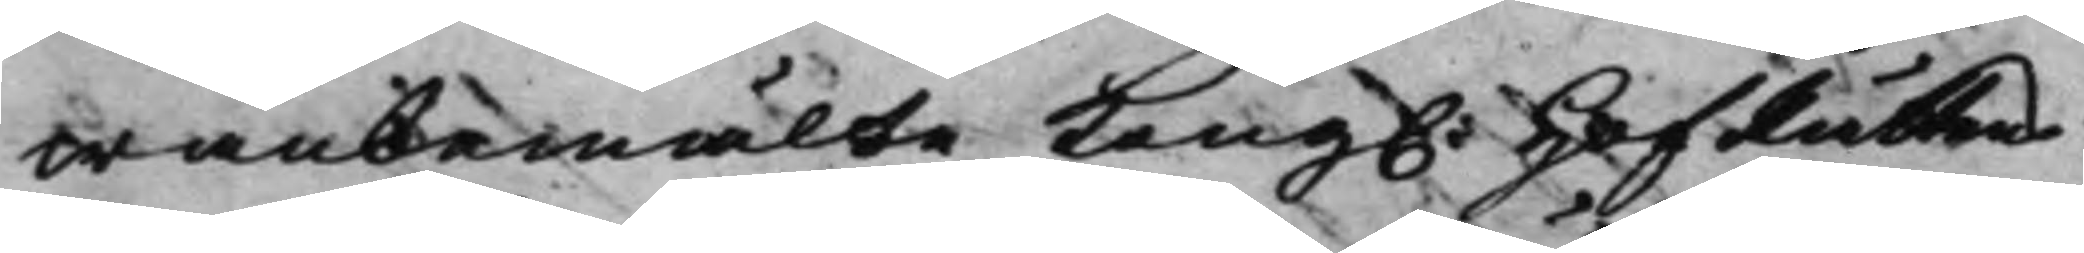wanbemälte Kong. HofRättens 
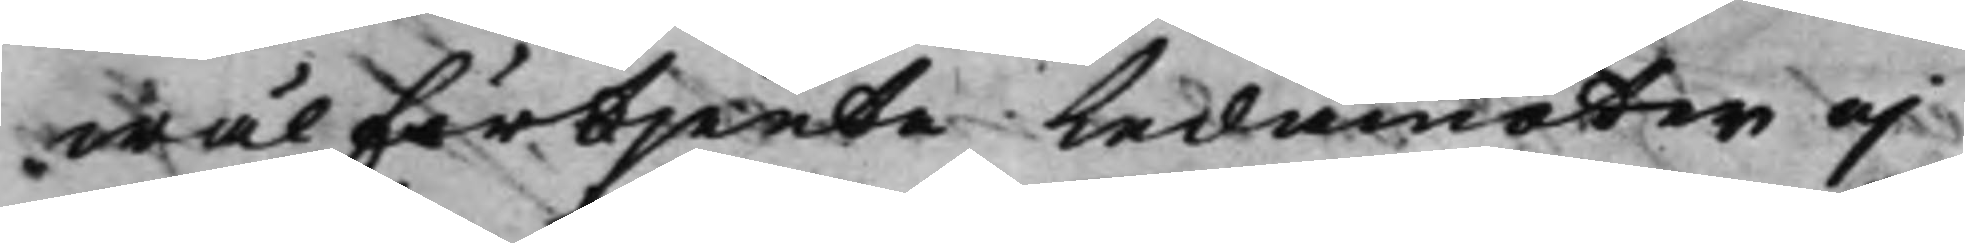wäl förtjente Ledamöter och
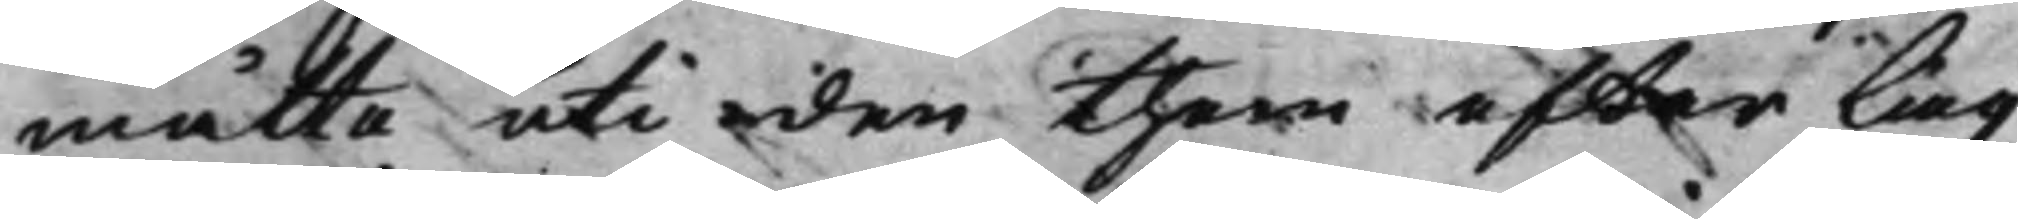måtte uti den them efter Lag
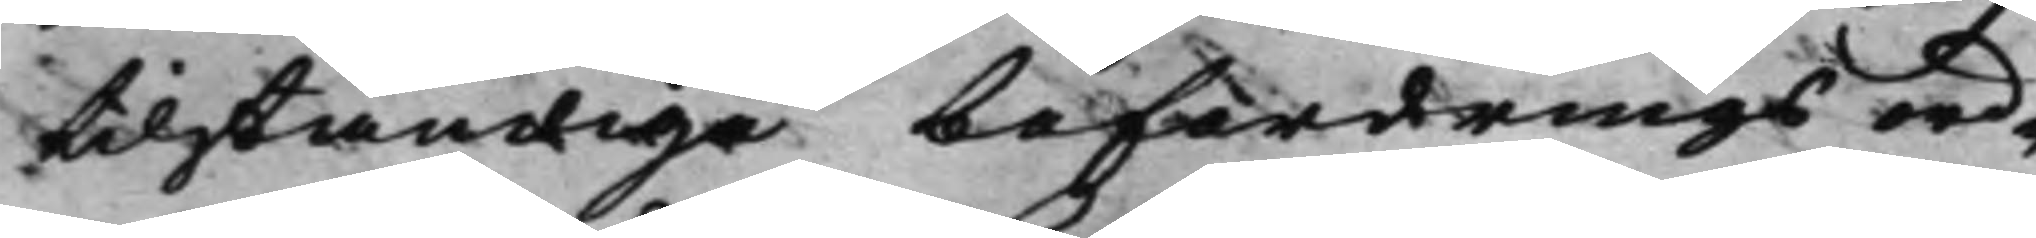tilständige befordrings ord¬
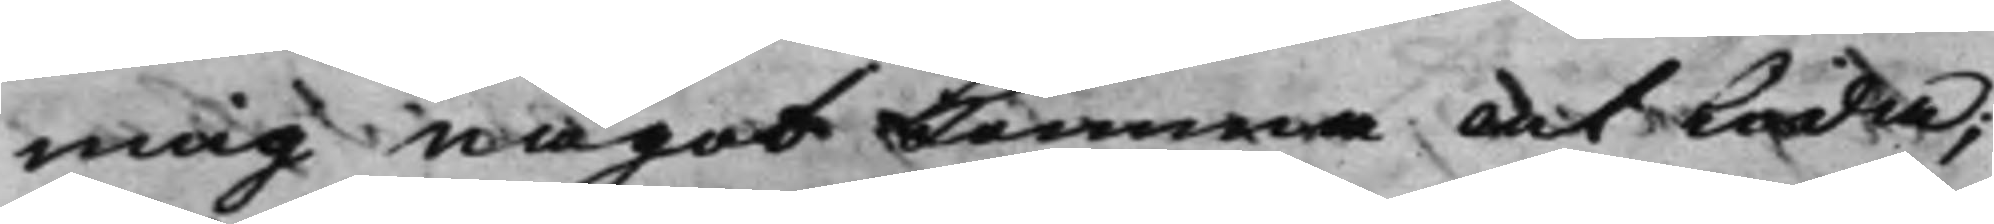ning något Komma at Leda;
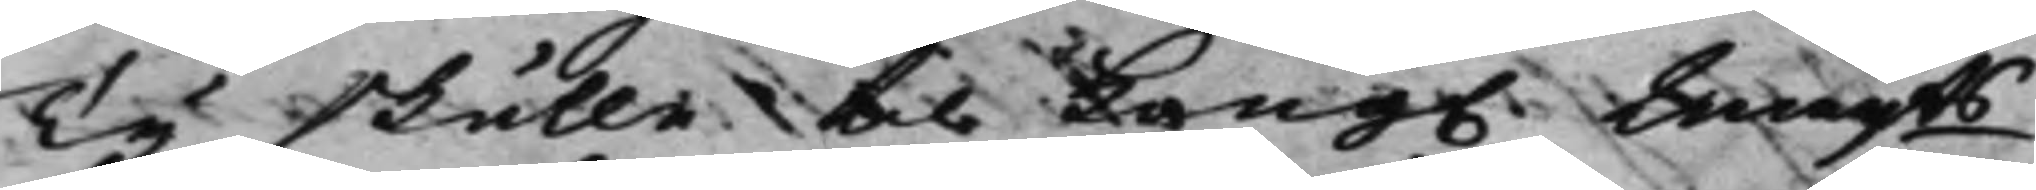Ty skulle til Kong. Maijts 
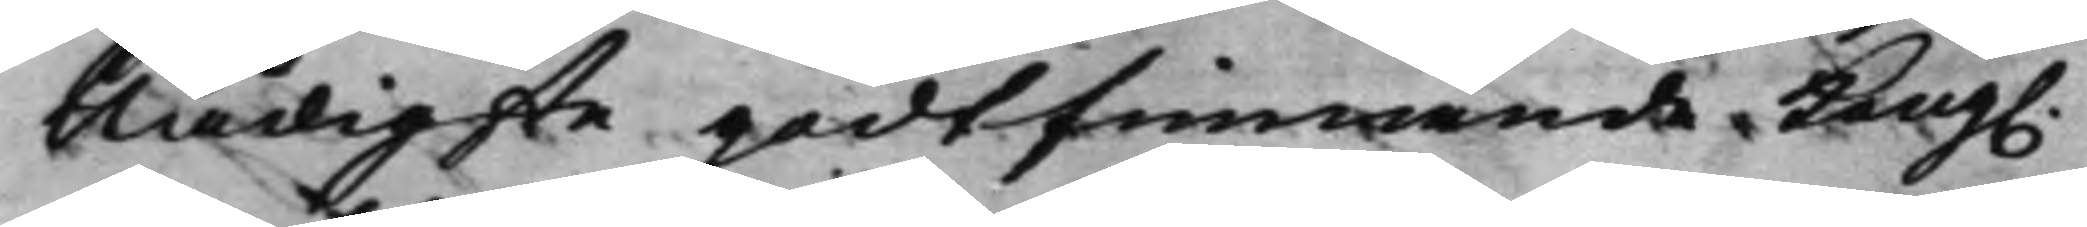Nådigste godtfinnande Kong. 
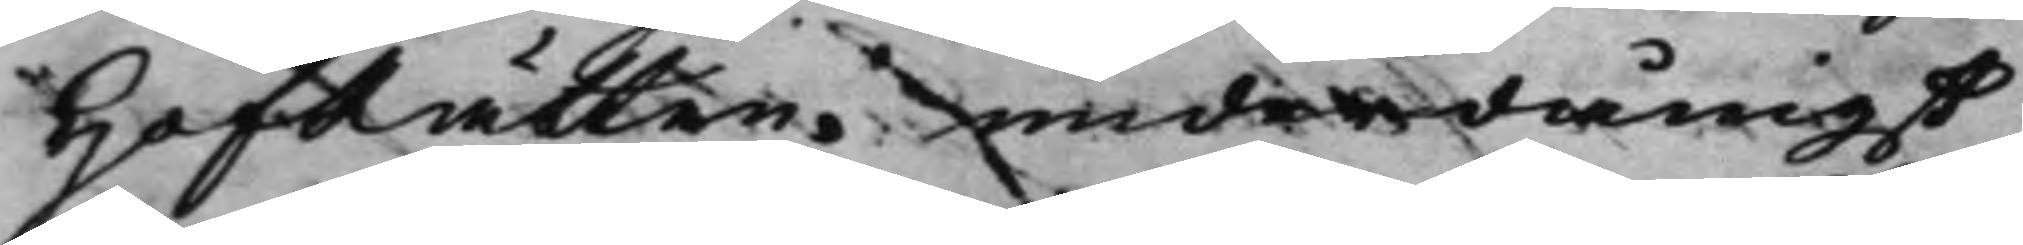HofRätten underdånigst
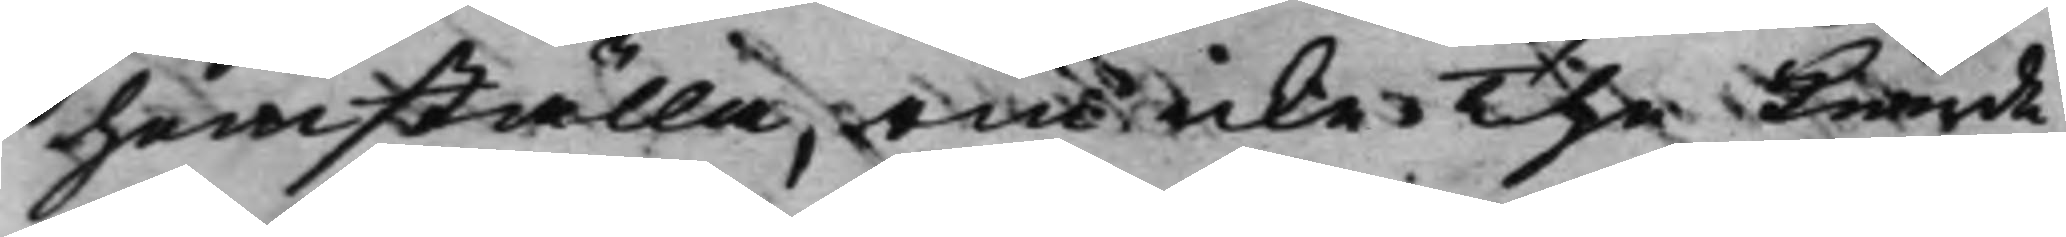hemställa, om icke The kunde
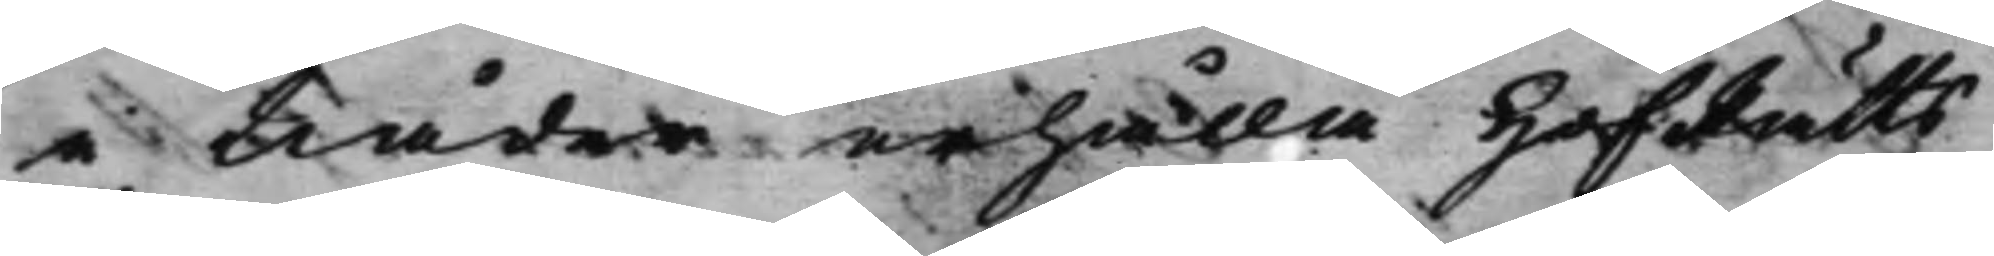i Nåder erhålla HofRätts¬
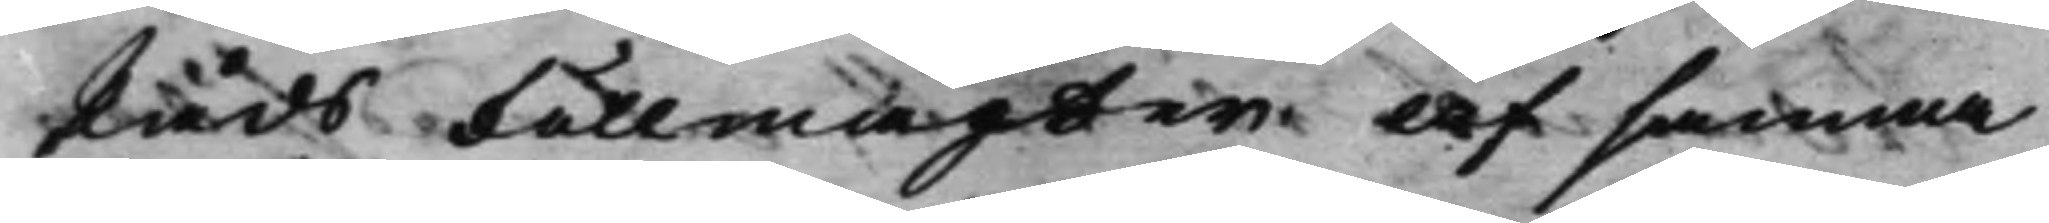Råds Fullmagter af samma
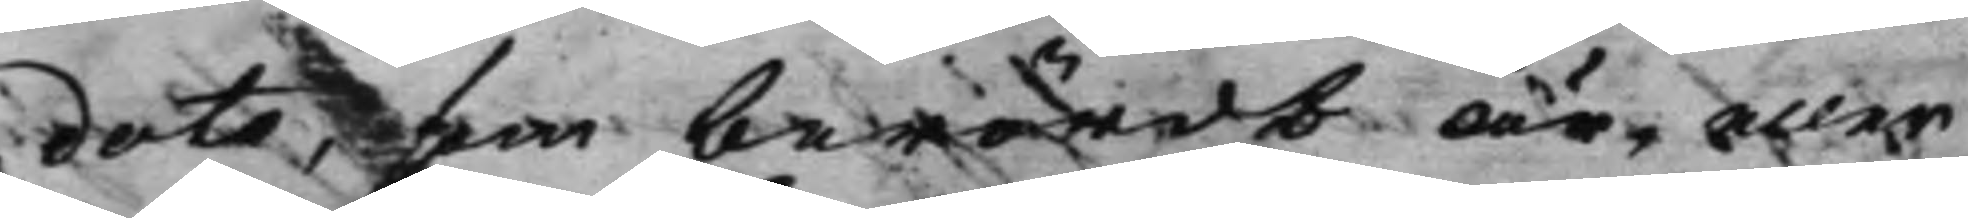dato, som berördt är, eller
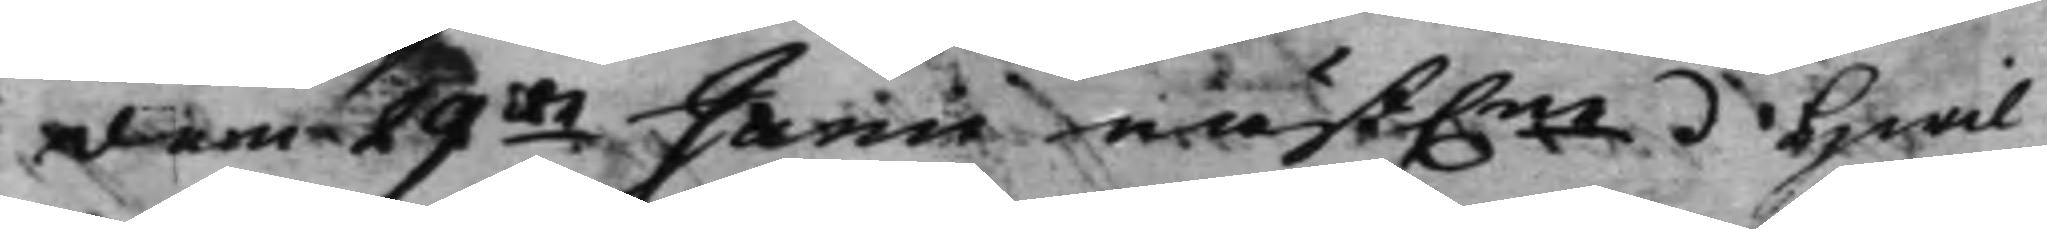den 29de Junii näst.ne. Hwil¬ 
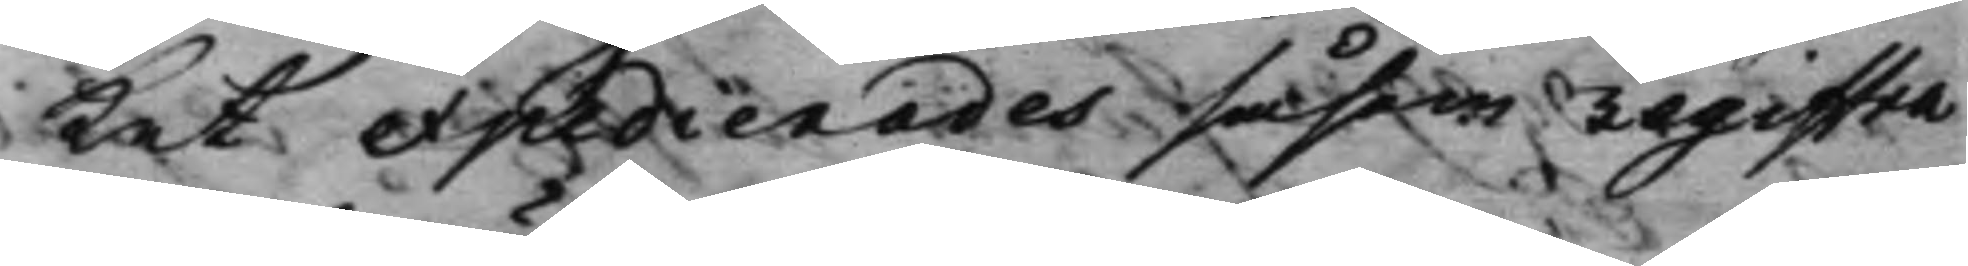Ket epedierades såsom registra¬
